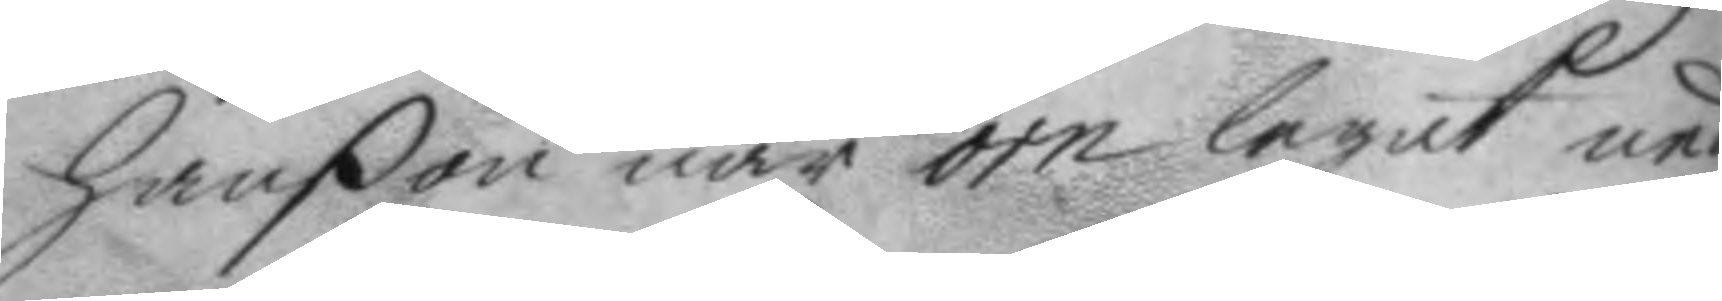hanßon när örn legat ned¬
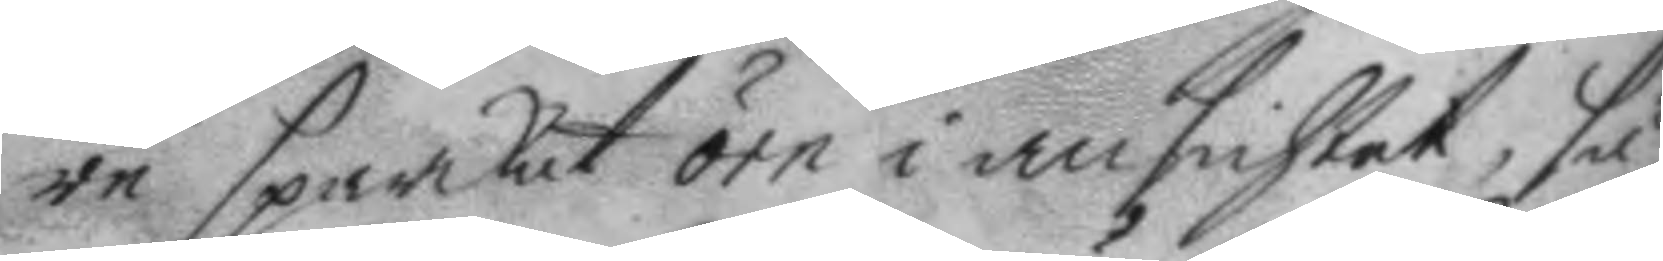re sparkat örn i ansichtet, så
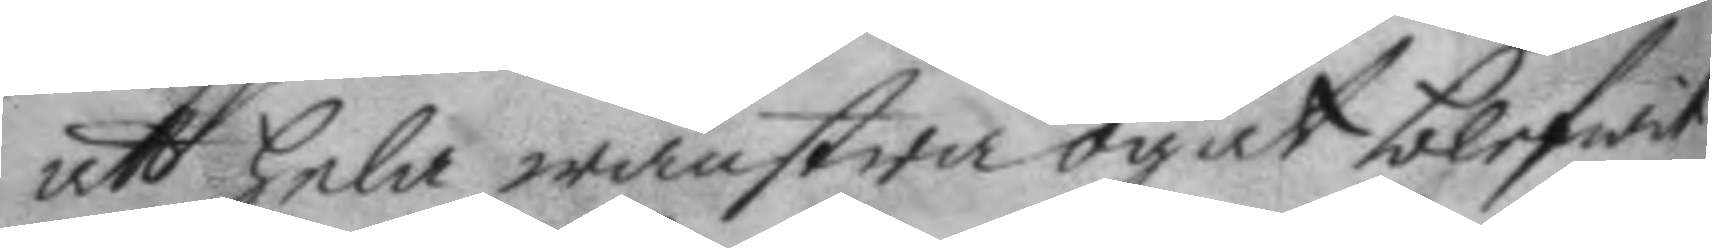att hela wänstra ögat blefwit
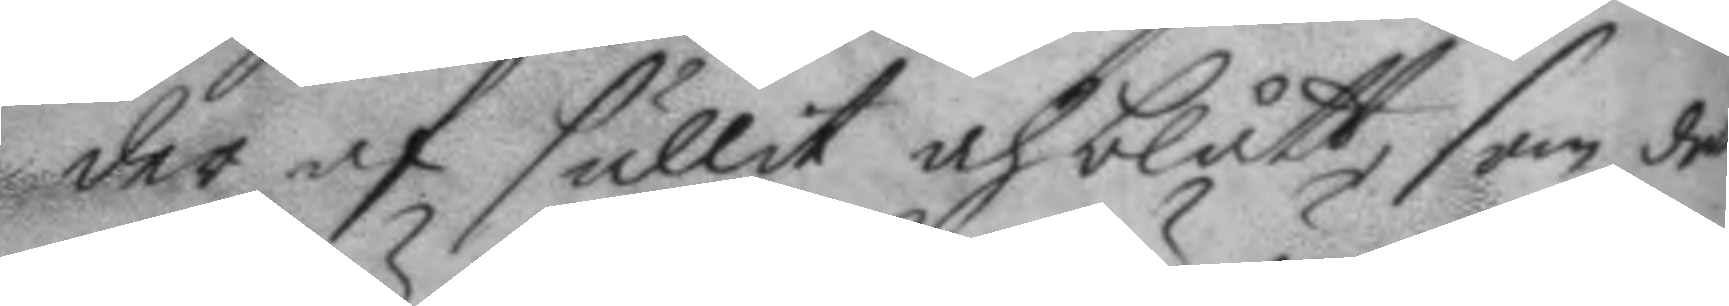der af sullit och blått, som det
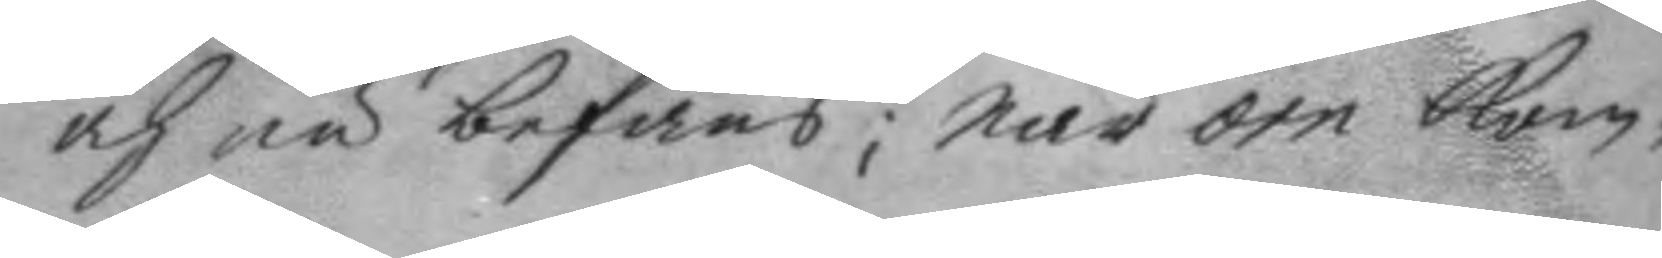och nu befans; när örn kom¬
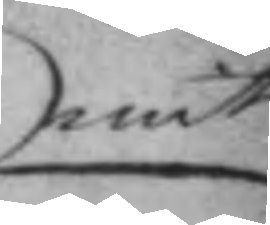mit
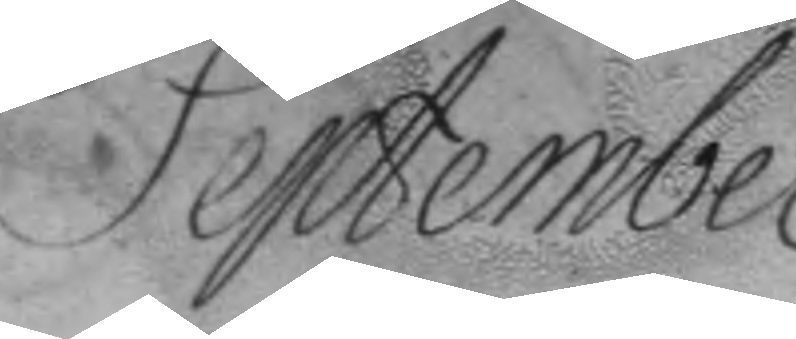September.
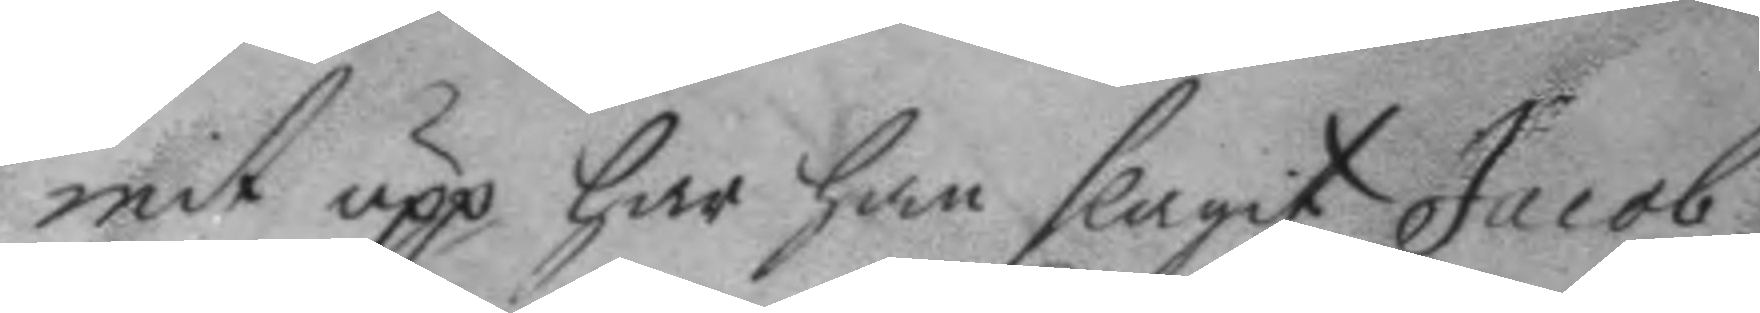mit upp har han slagit Jacob
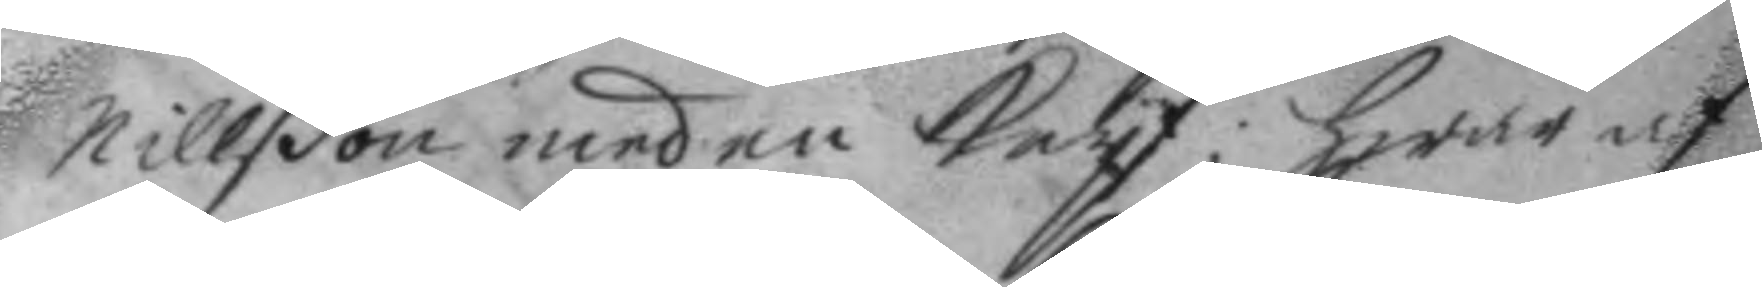nillßon med en knyf; hwar af
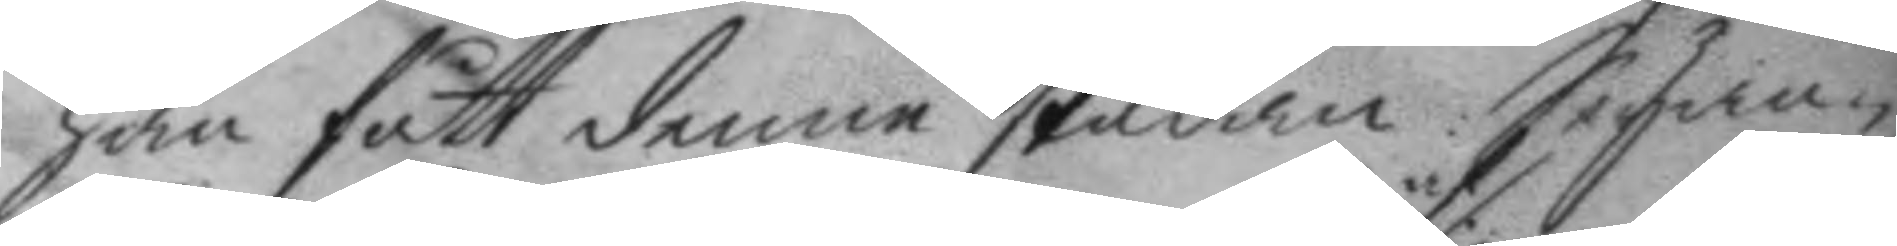han fått denne skadan: Seyan¬
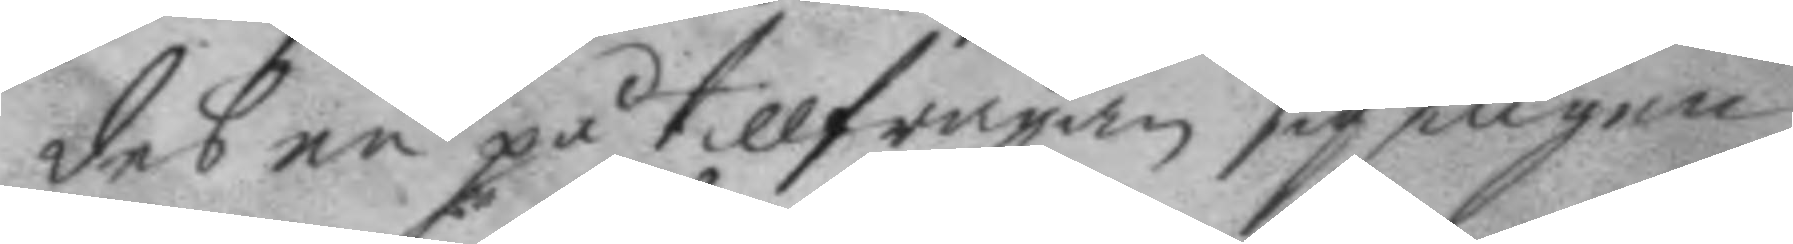des nu på tillfrågan sig af ingen
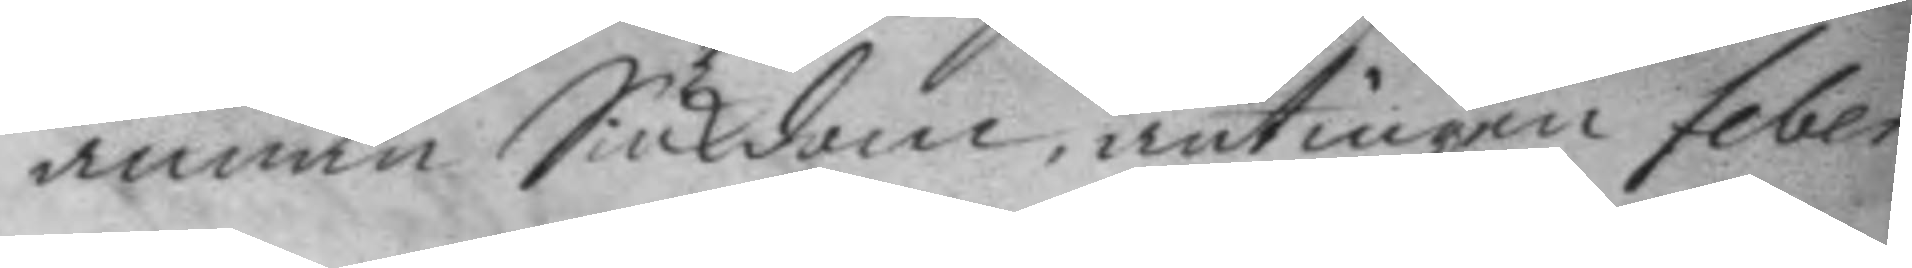annan Siukdom, antingen feber
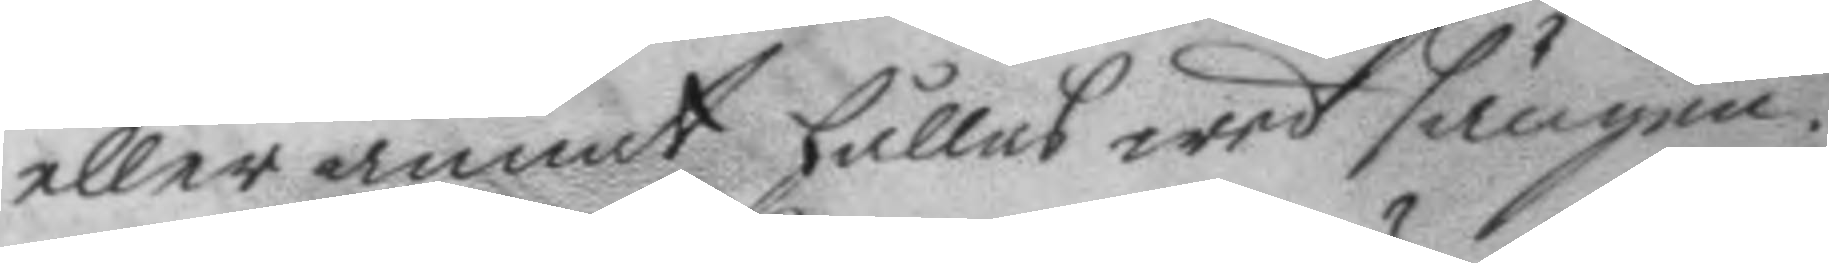eller annat hålles wed sängen.
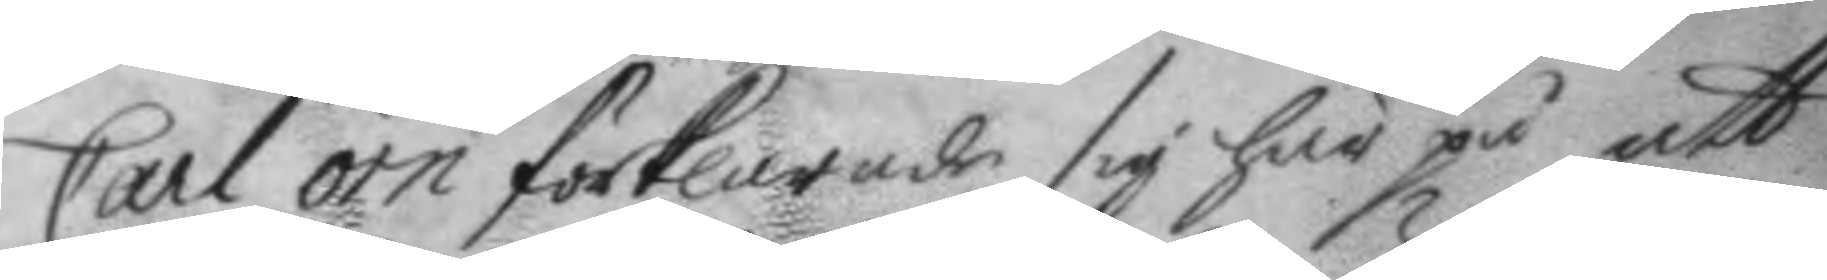Carl örn förklarade sig här på att
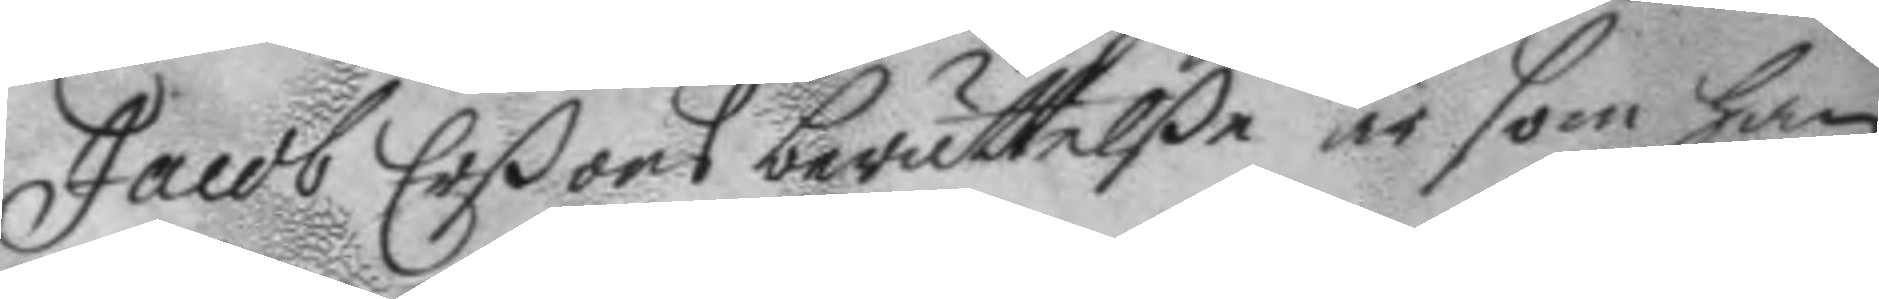Jacob Erßons berättelße är som han
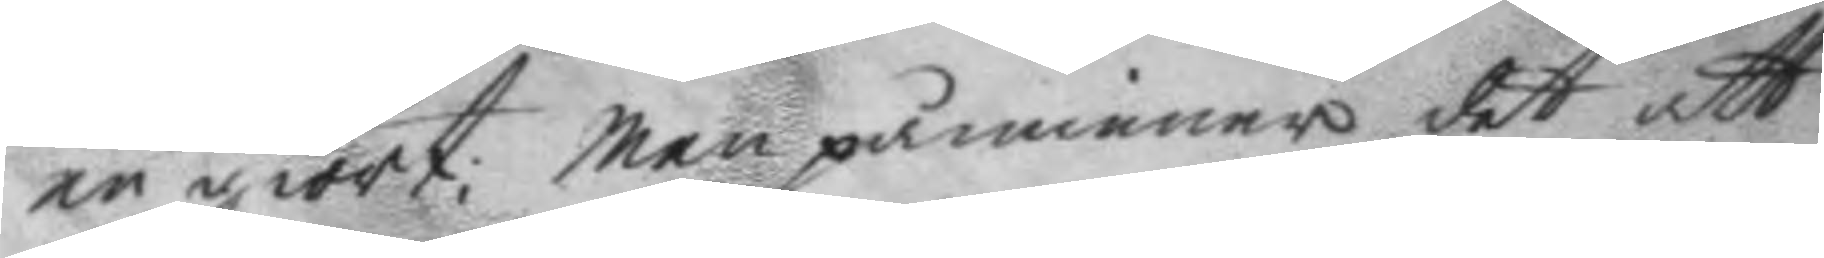nu giort; men påminner det att
